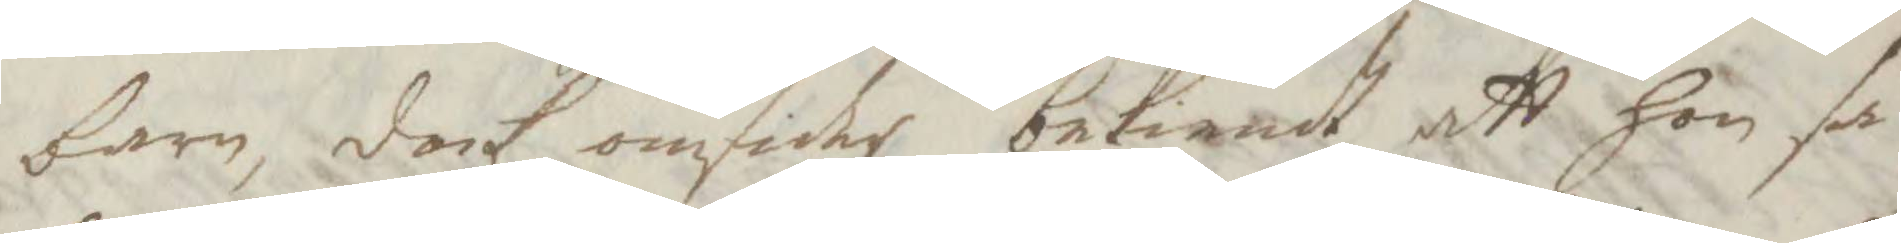barn, dock omsider bekiendt att hon så¬
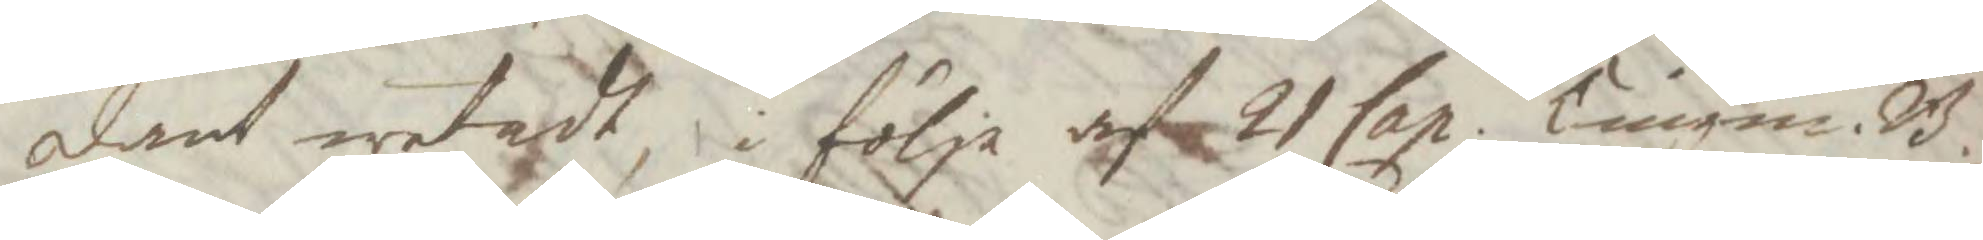dant wetadt, i följe af 21 Cap. Tingm. B.
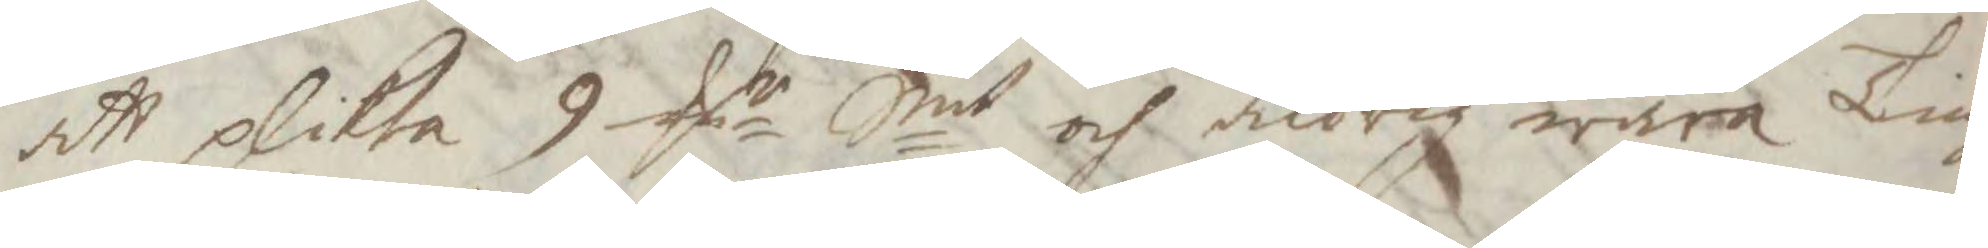att plikta 9 Fr Smt och aldrig wara Tingz¬
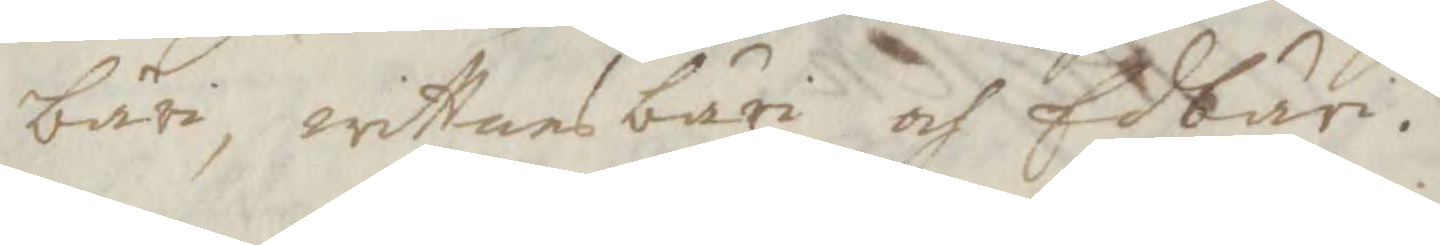bäri, wittnesbäri och Edbäri.
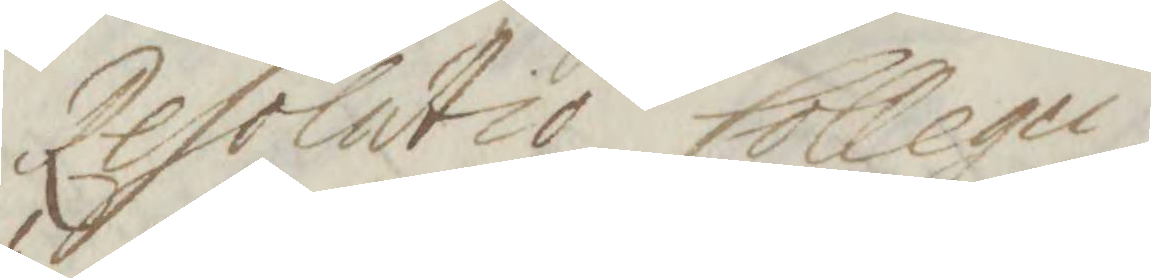Resolutio Collegii
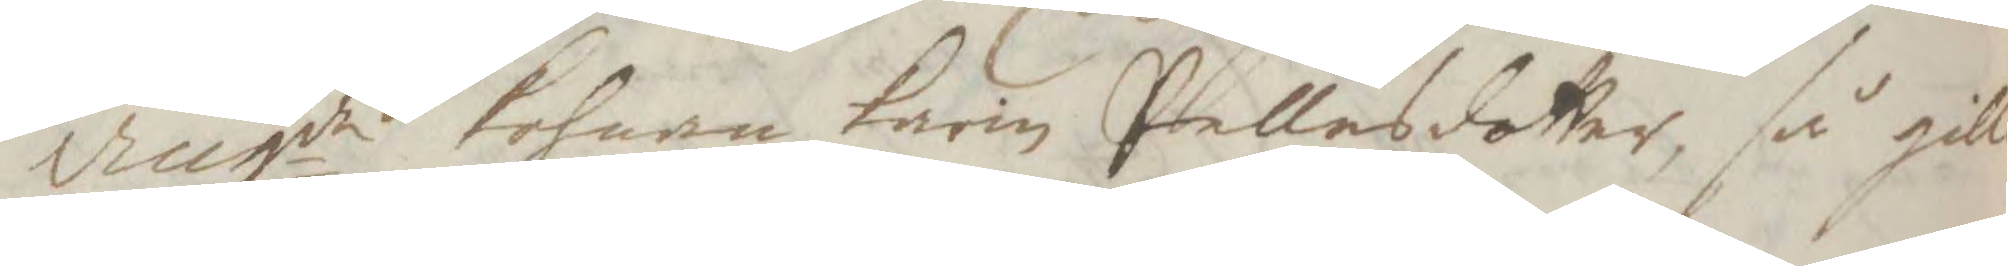angde kohnan Karin Pellesdotter, så gilla¬
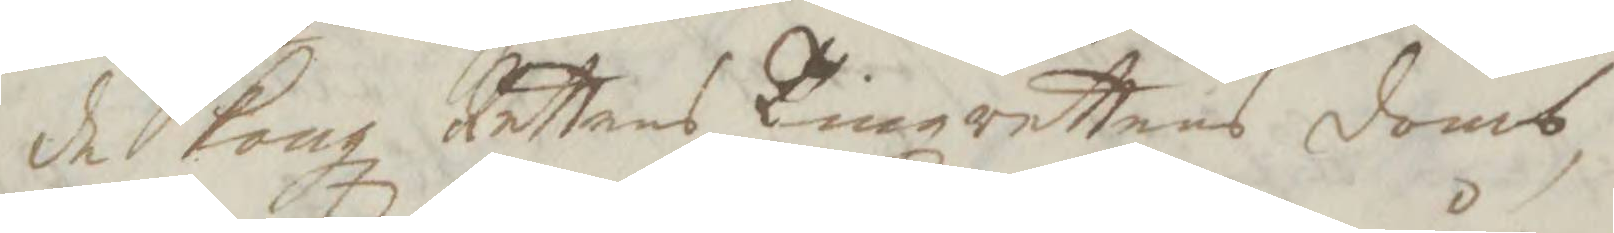de Kongl Rettens Tingzrettens domb,
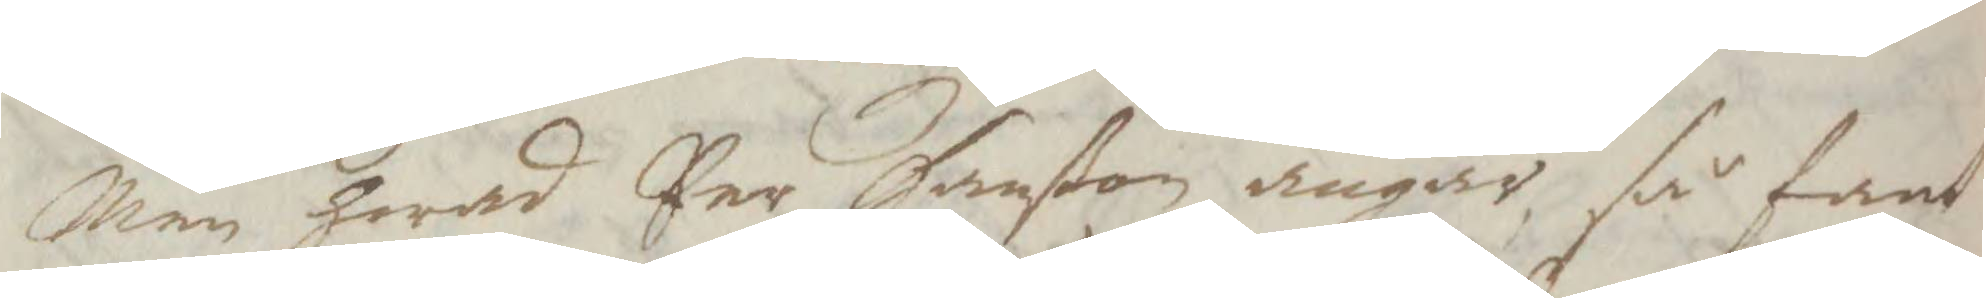men hwad Per Hanßon angår, så fant
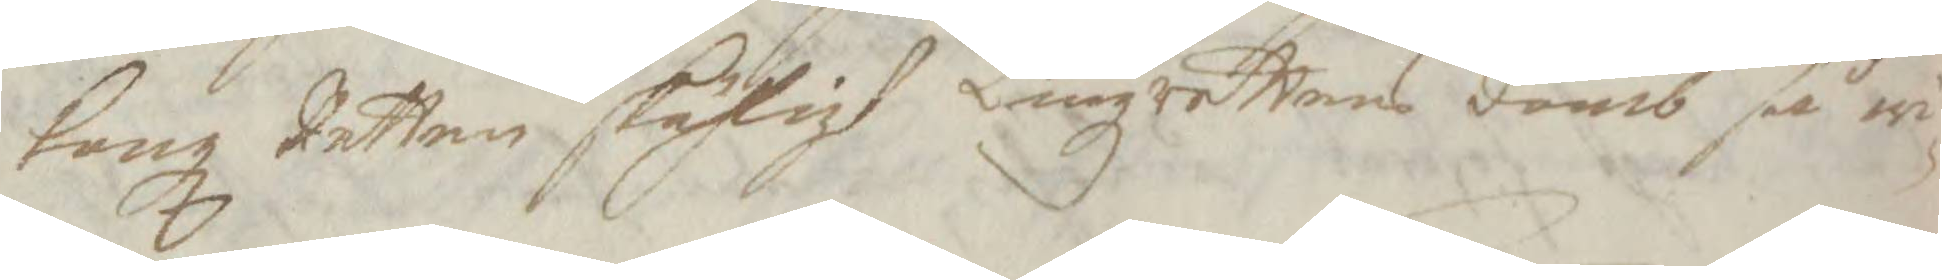Kongl Retten skähligt Tingzrettens domb så wi¬
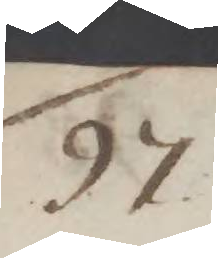97
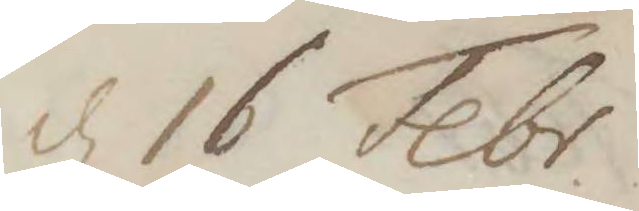d 16 Febr.
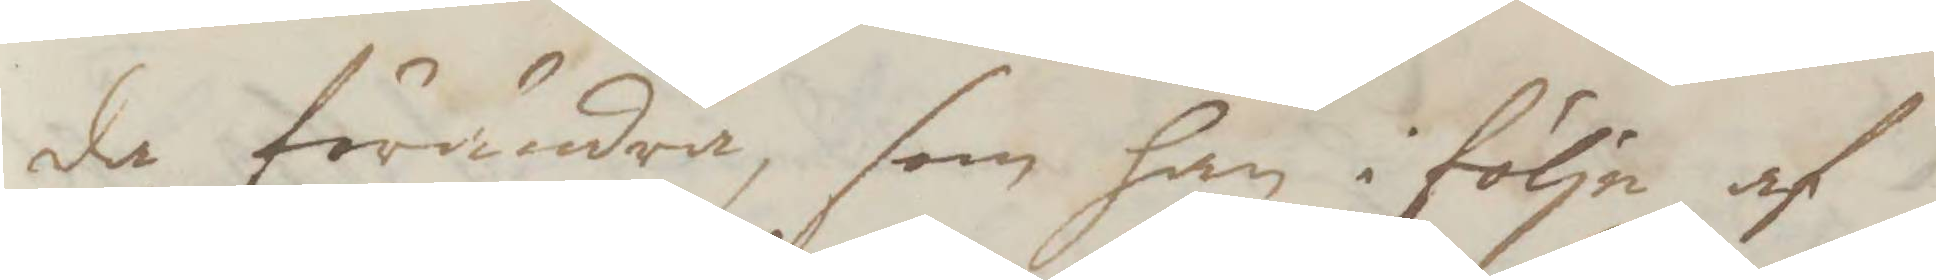da förändra, som han i följe af
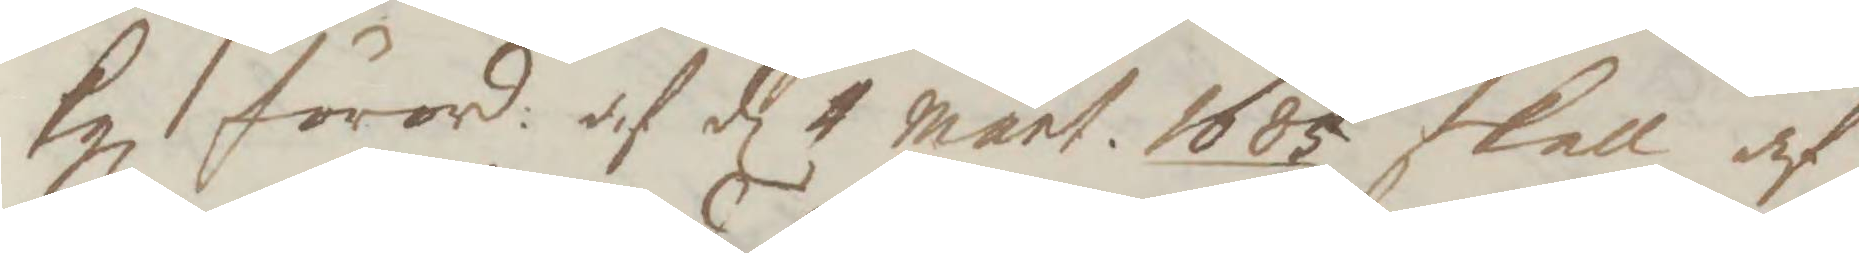Kgl. förord: af d 4 mart. 1685 skall af¬
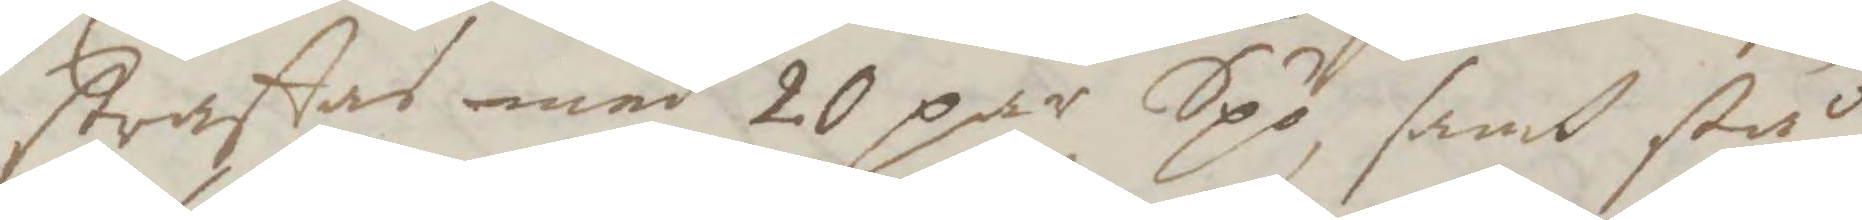straffas med 20 par Spö, samt stå
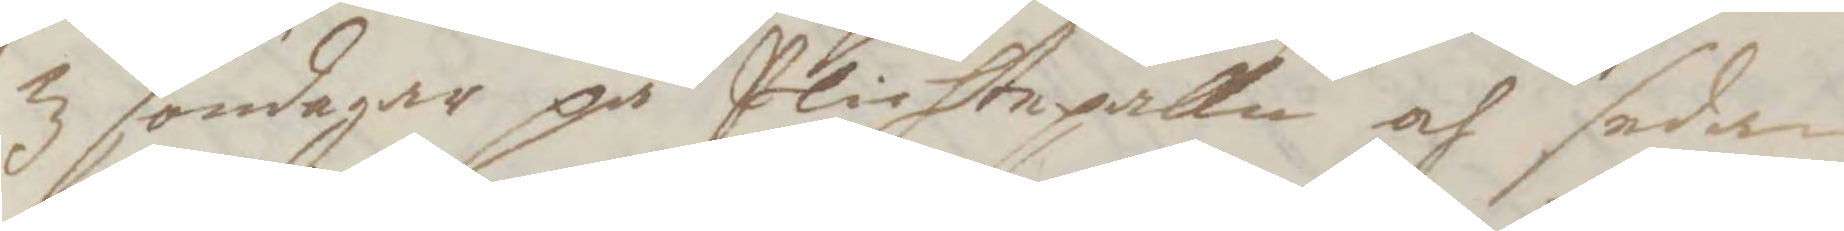3 söndagar på plichtepallen och sedan
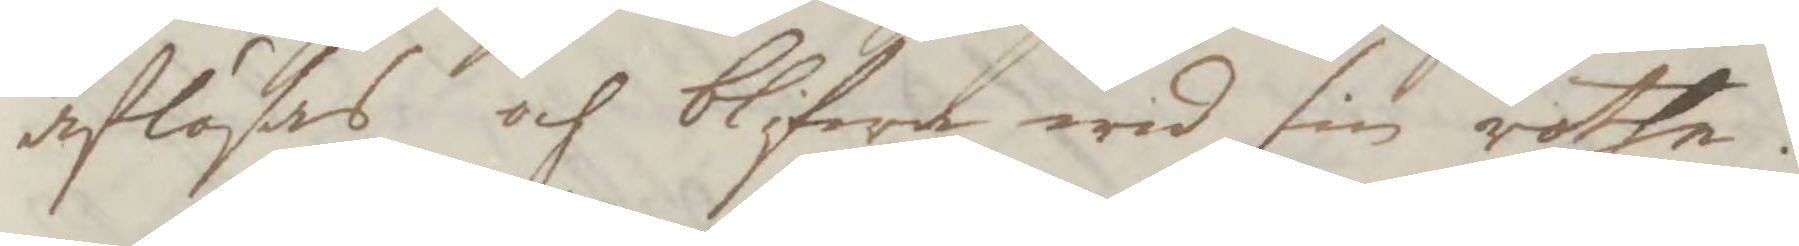aflösas, och blifwa wid sin rothe.
